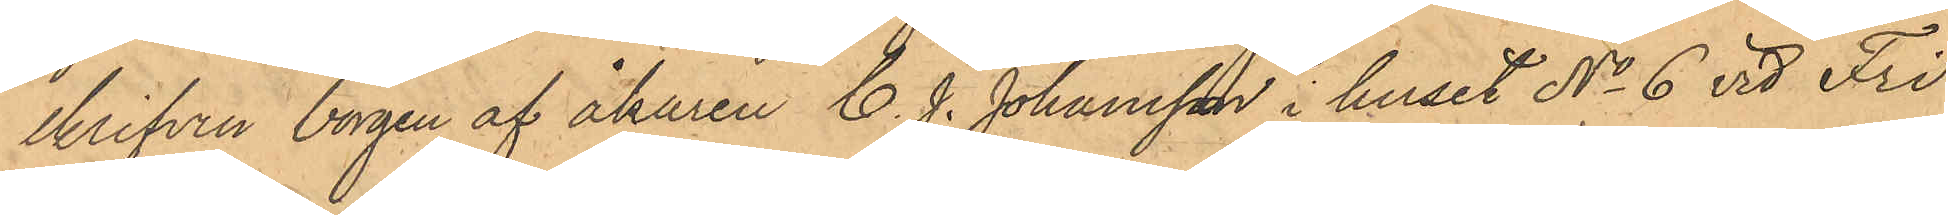skrifven borgen af åkaren C. J. Johansson i huset No 6 vid Fri¬
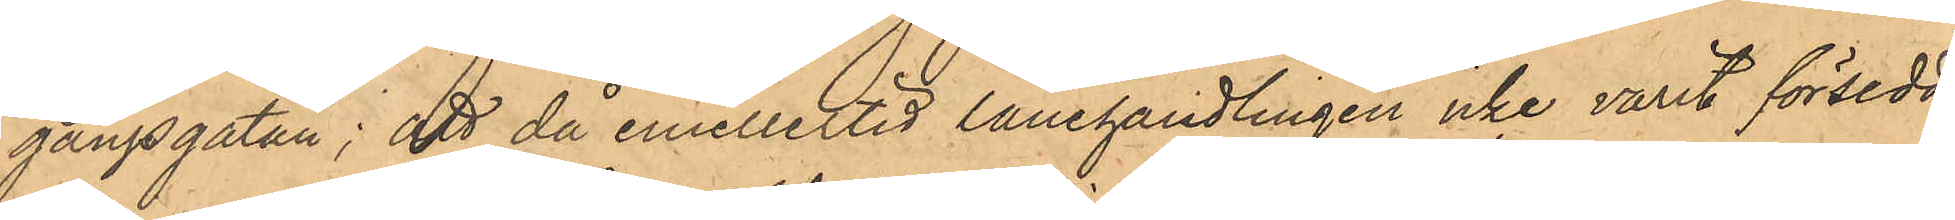gångsgatan; att då emellertid lånehandlingen icke varit försedd
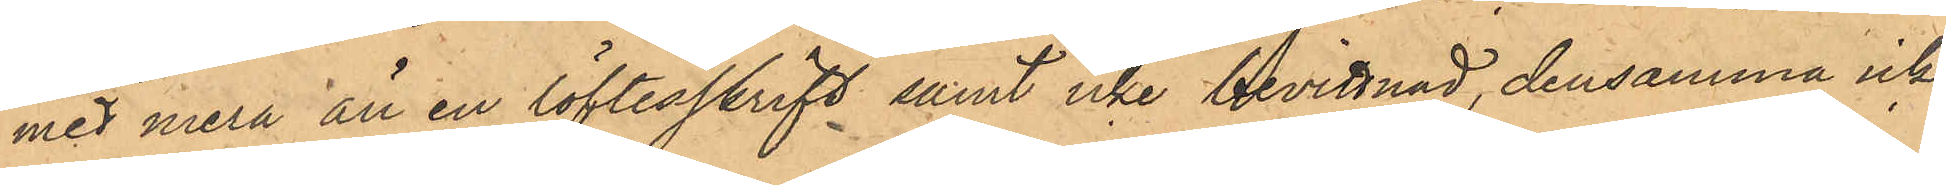med mera än en löftesskrift samt icke bevittnad, densamma icke
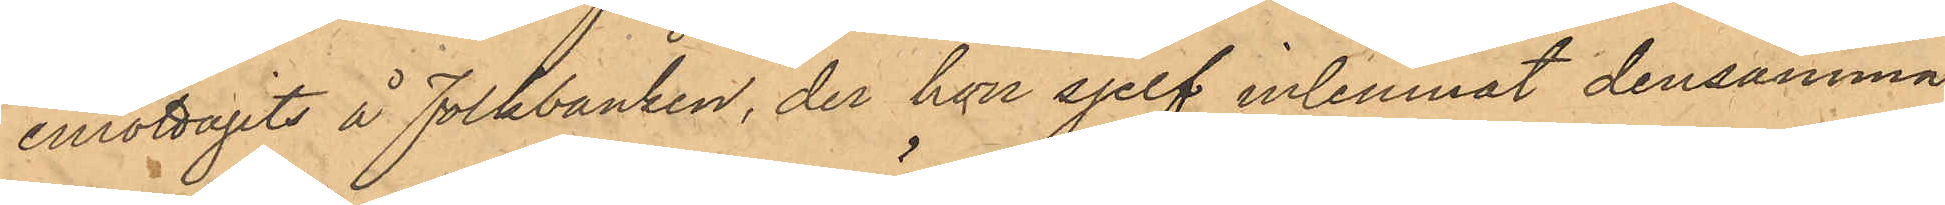emottagits å Folkbanken, der hon sjelf inlemnat densamma
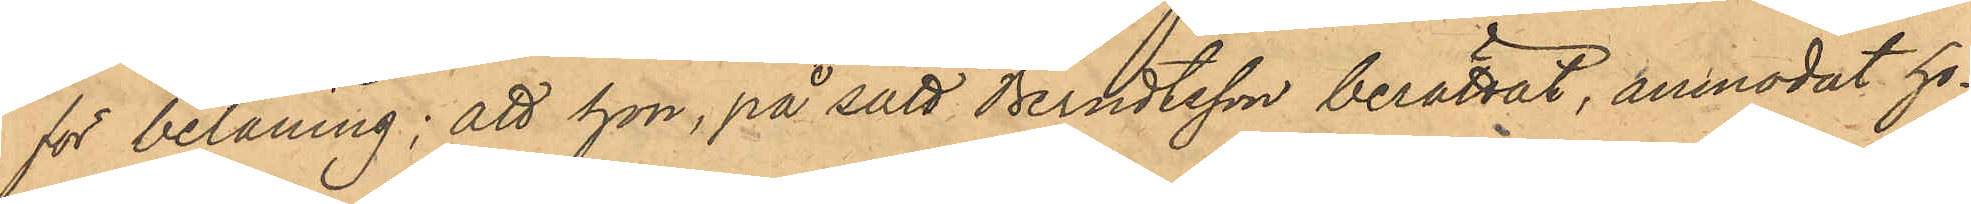för belåning; att hon, på sätt Berndtsson berättat, anmodat ho¬
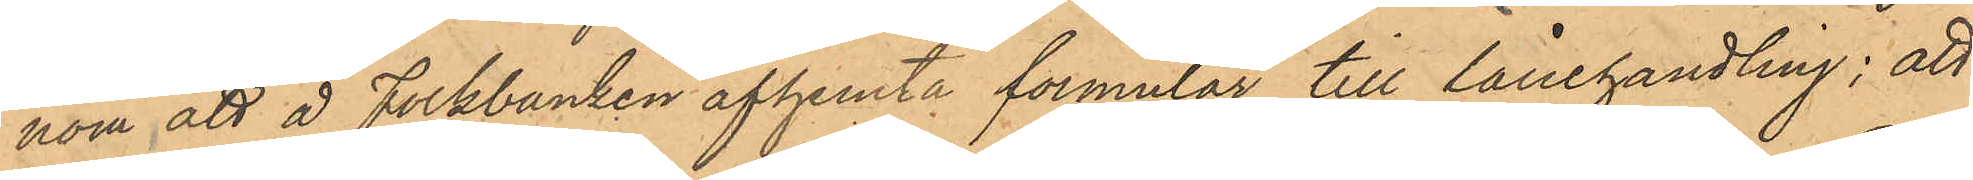nom att å Folkbanken afhemta formulär till lånehandling; att
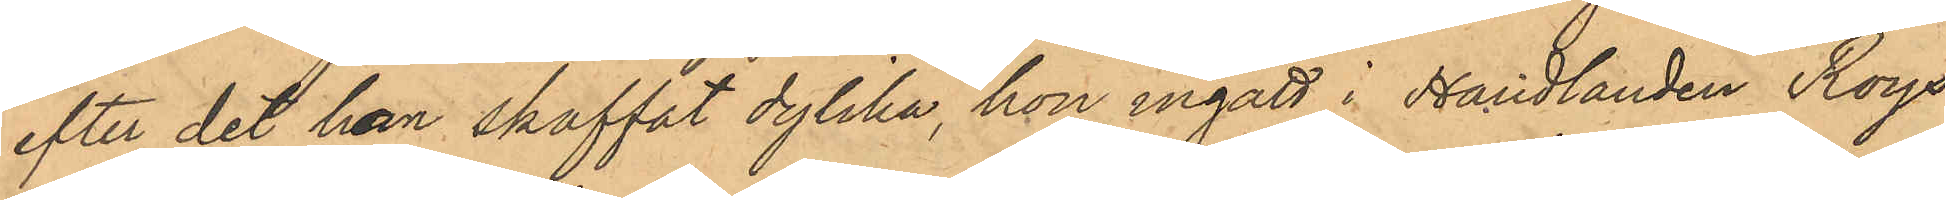efter det han skaffat dylika, hon ingått i Handlanden Roys
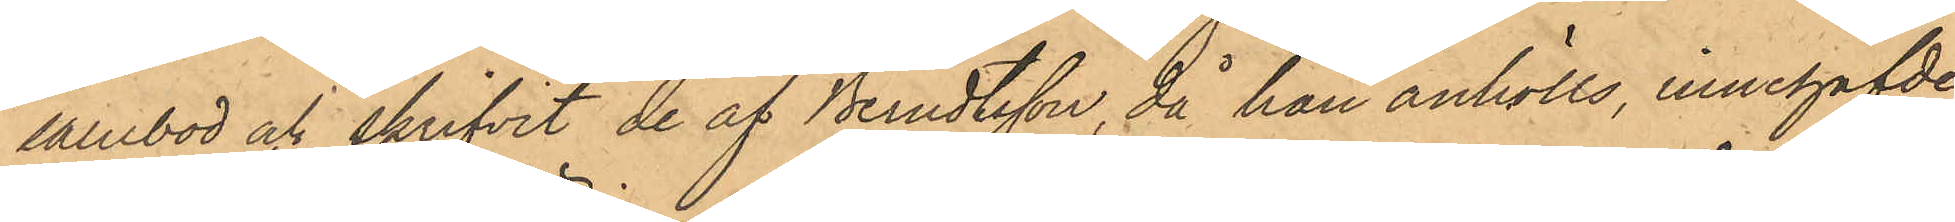salubod och skrifvit de af Berndtsson, då han anhölls, innehafvde
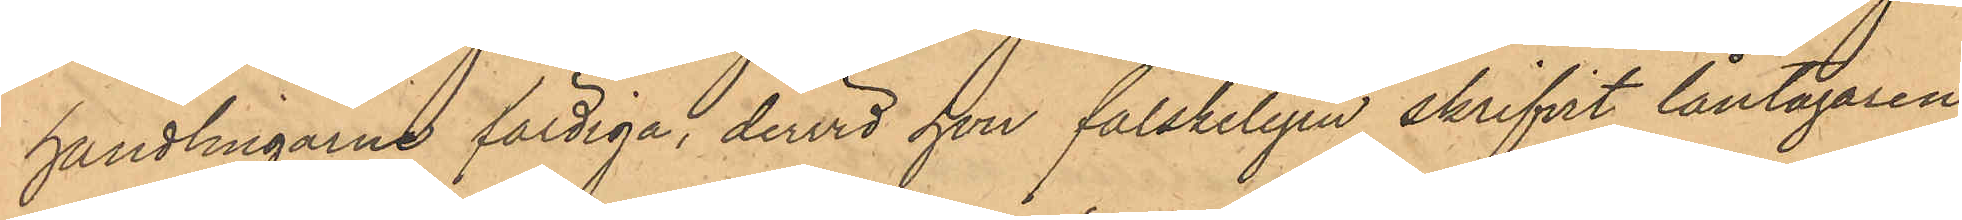handlingarne färdiga, dervid hon falskeligen skrifvit låntagarens
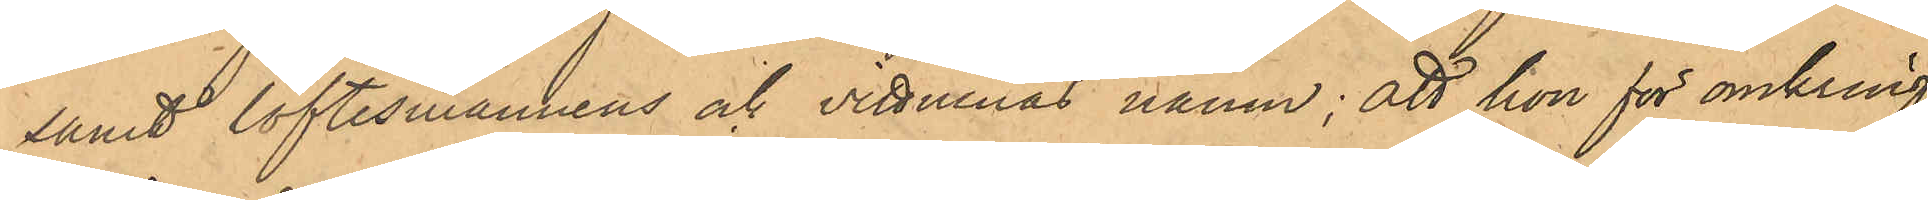samt löftesmannens och vittnenas namn; att hon för omkring
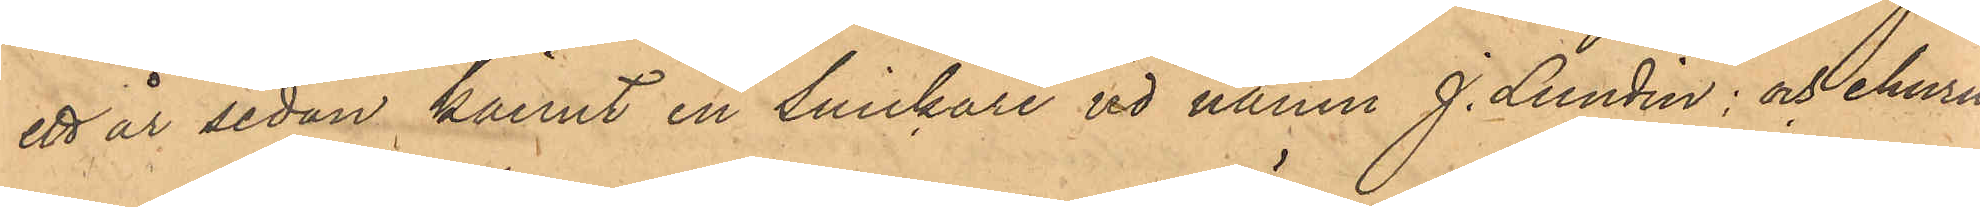ett år sedan kännt en snickare vd namn J. Lundin: och ehuru
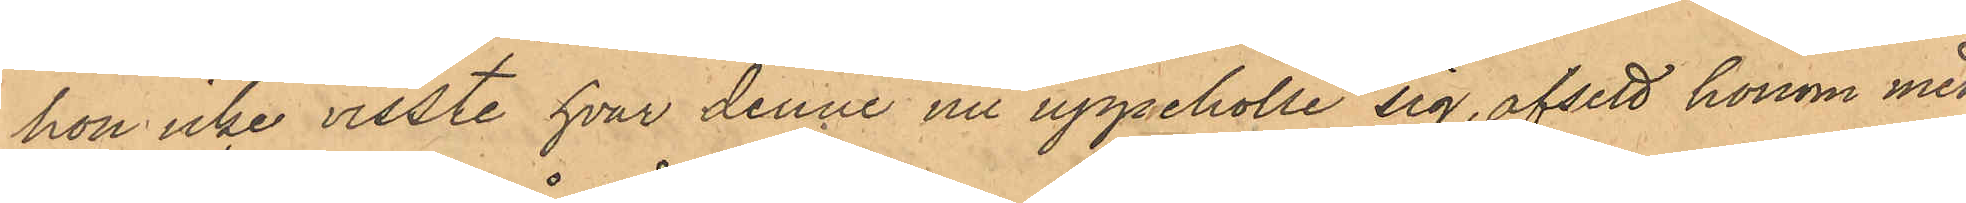hon icke visste hvar denne nu uppehölle sig, afsett honom med
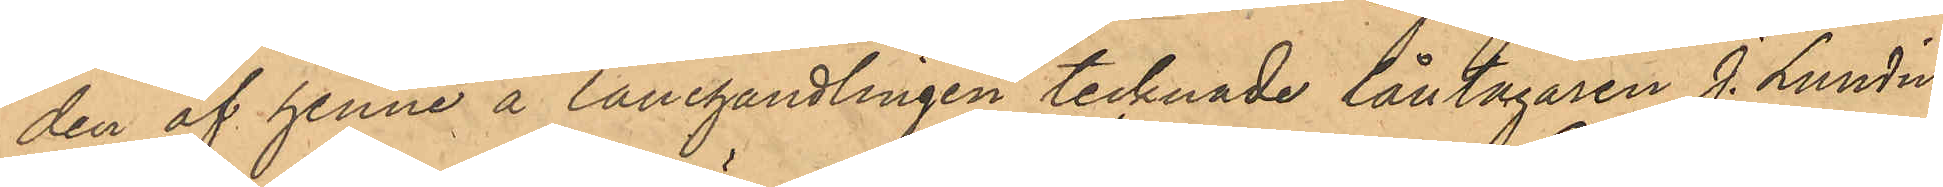den af henne å lånehandlingen tecknade låntagaren J. Lundin;
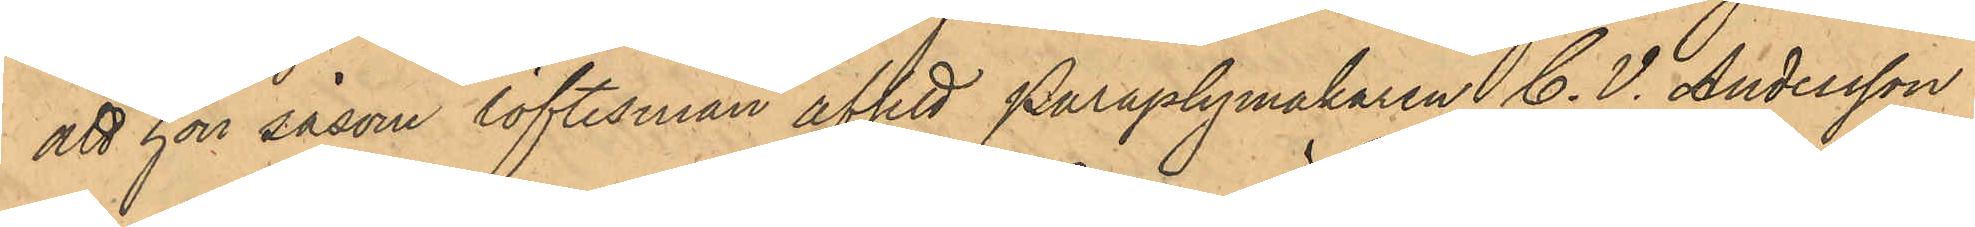att hon såsom löftesman afsett paraplymakaren C. V. Andersson i
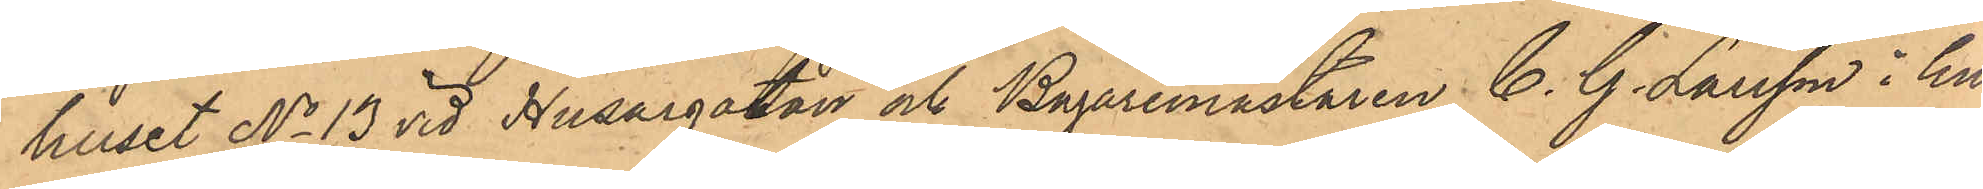huset No 13 vid Husargatan och Bagaremästaren C. G. Larsson i hu¬
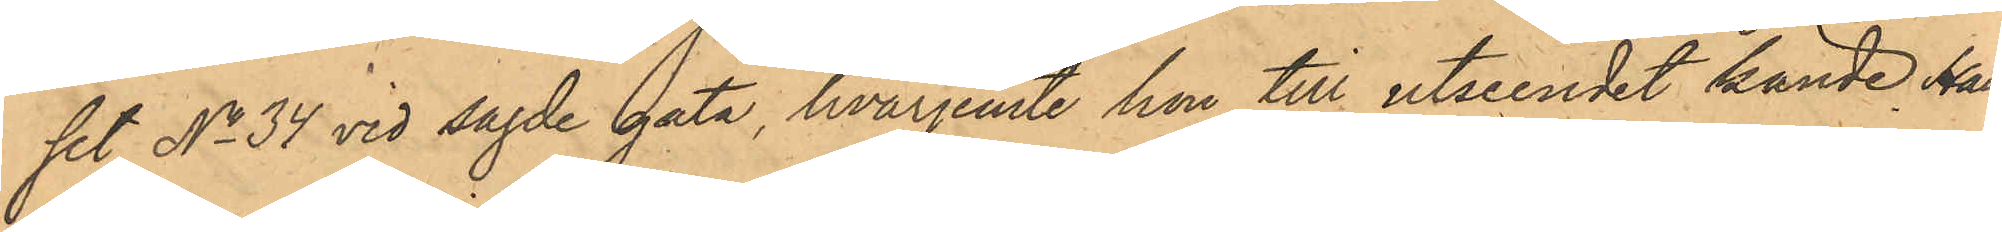set No 34 vid sagde gata, hvarjemte hon till utseendet kände Hand¬
